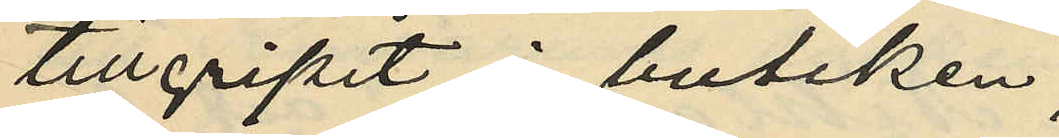tillgripit i butiken;
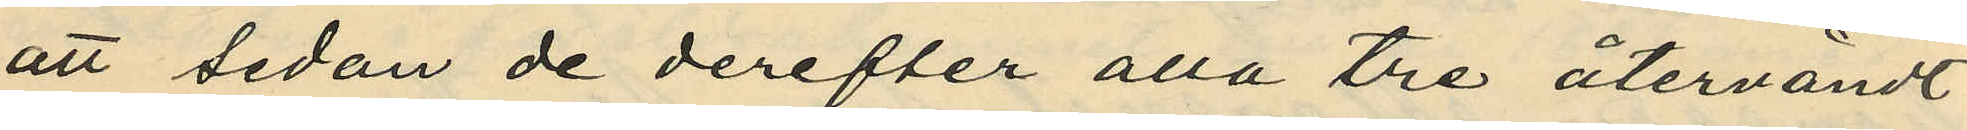att sedan de derefter alla tre återvändt
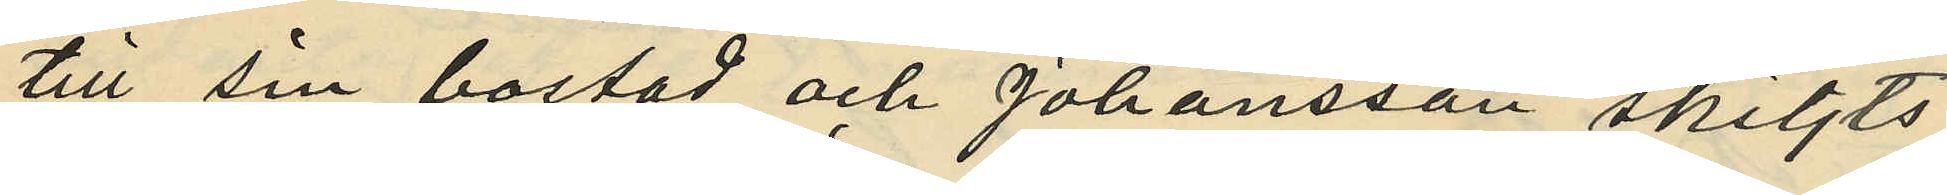till sin bostad och Johansson skiljts
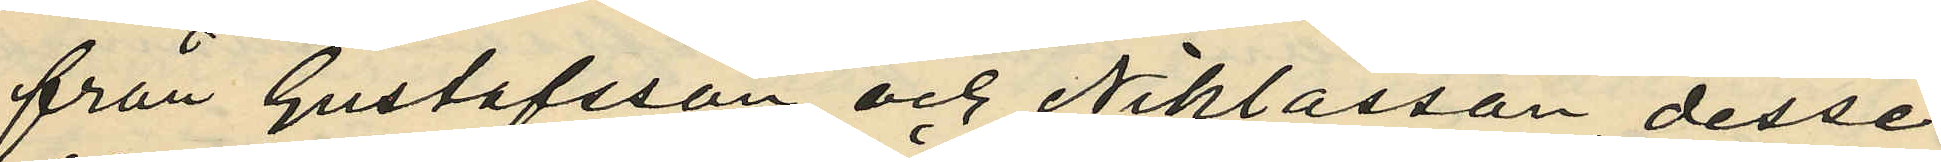från Gustafsson och Niklasson, desse
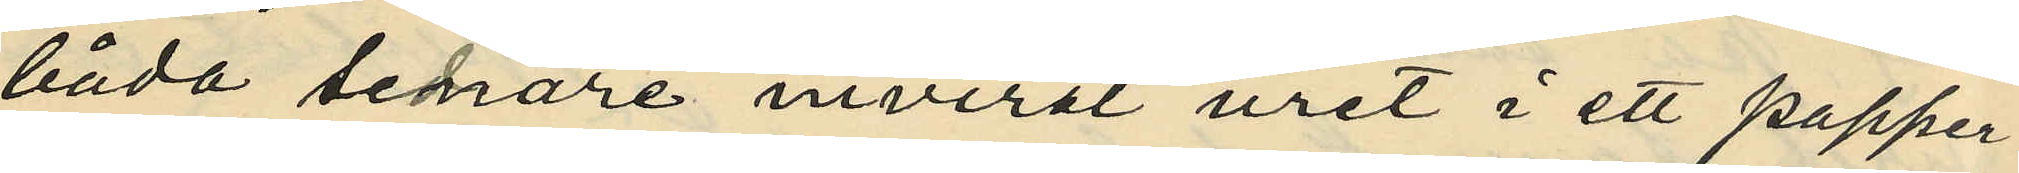båda senare invirat uret i ett papper
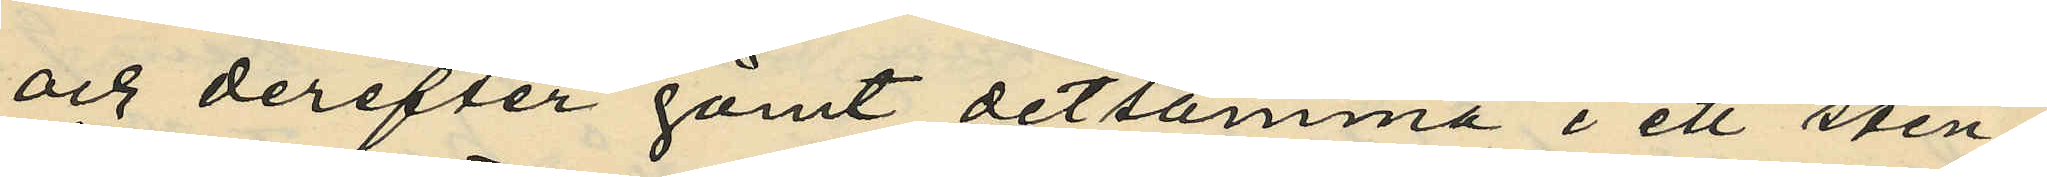och derefter gömt detsamma i ett sten¬
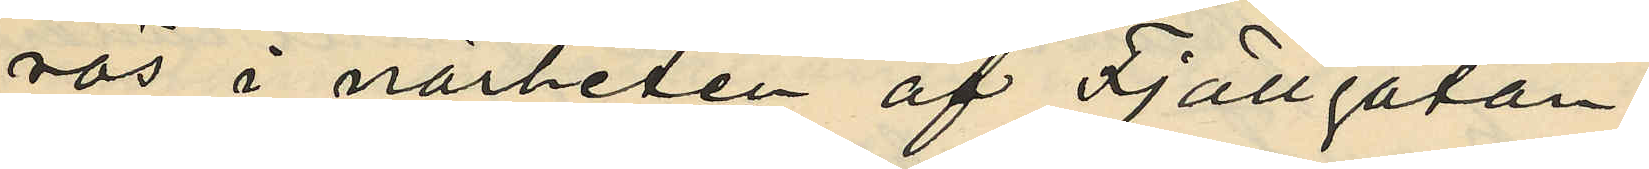rös i närheten af Fjällgatan;
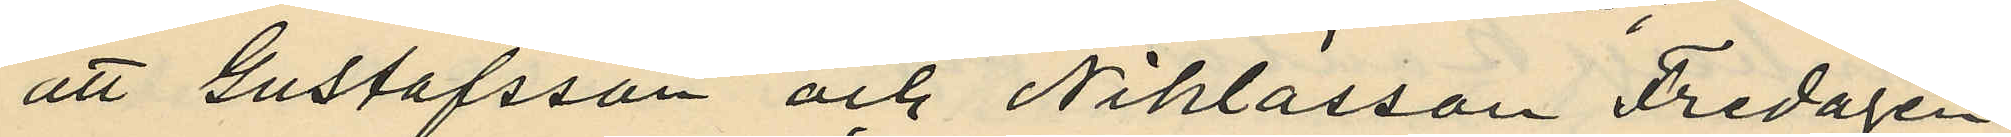att Gustafsson och Niklasson Fredagen
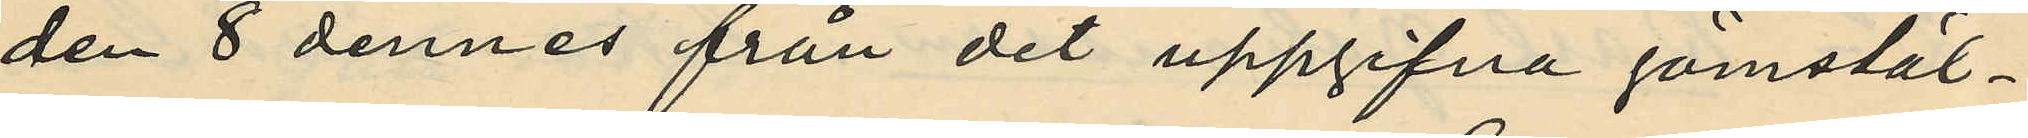den 8 dennes från det uppgifna gömstäl¬
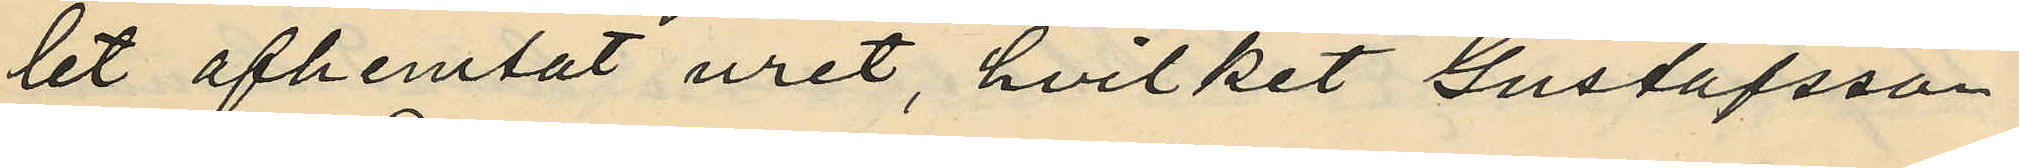let afhemtat uret, hvilket Gustafsson
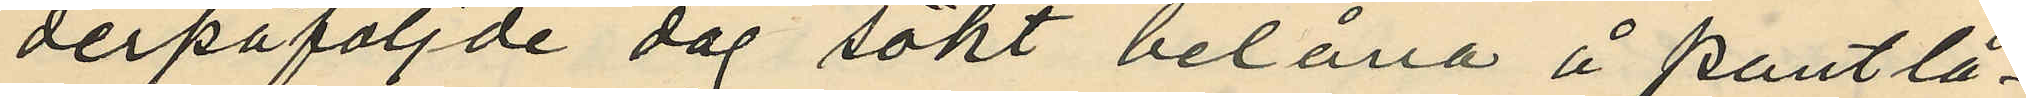derpåföljde dag sökt belåna å pantlå¬
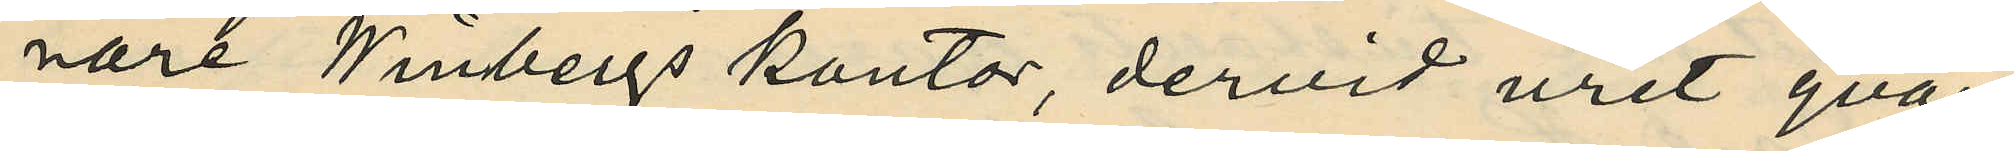nare Winbergs kontor, dervid uret qvar¬
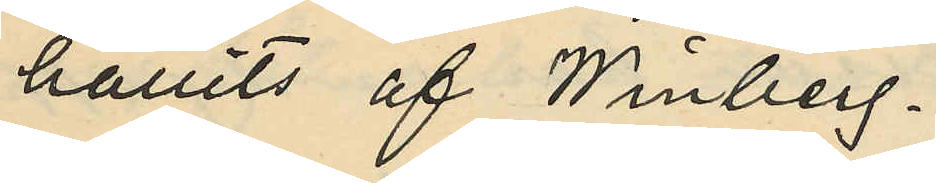hållits af Winberg.
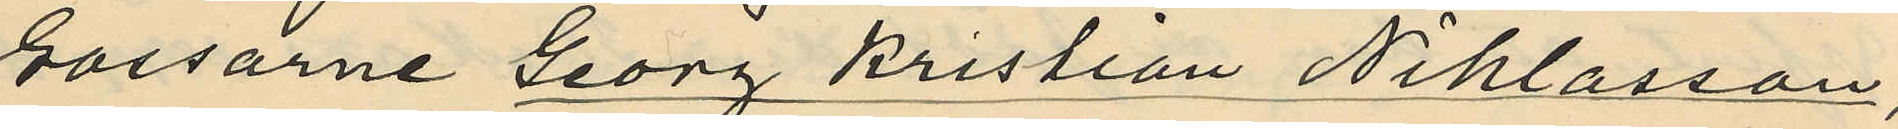Gossarne Georg Kristian Niklasson,
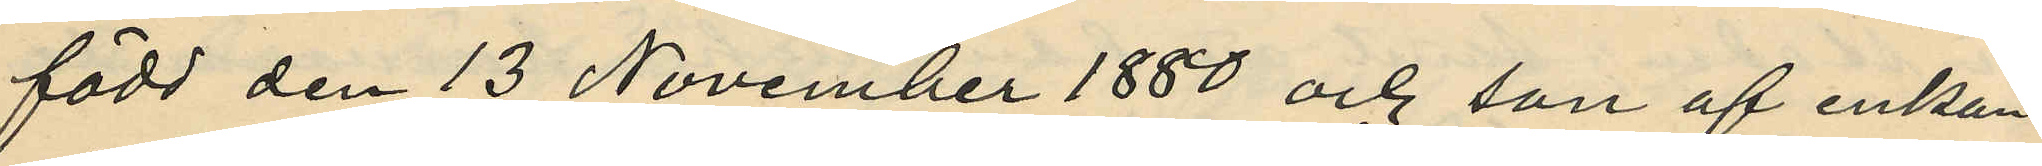född den 13 November 1880 och son af enkan
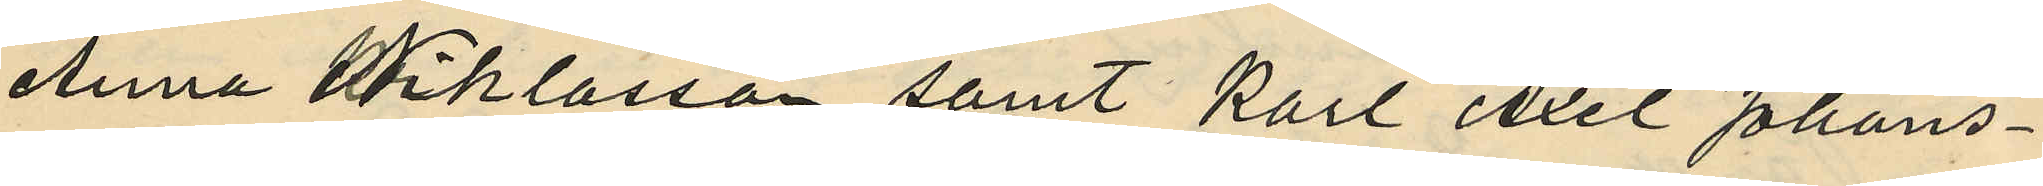Anna Niklasson samt Karl Axel Johans¬
